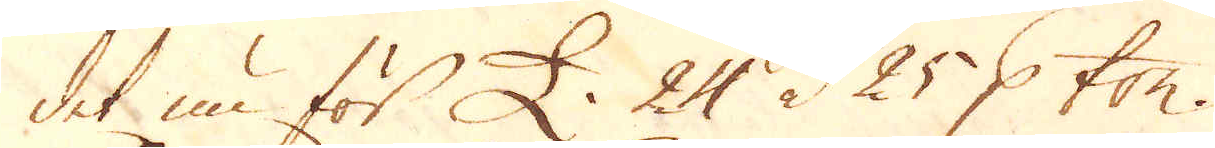det nu för £ 24 à 25 p ton.
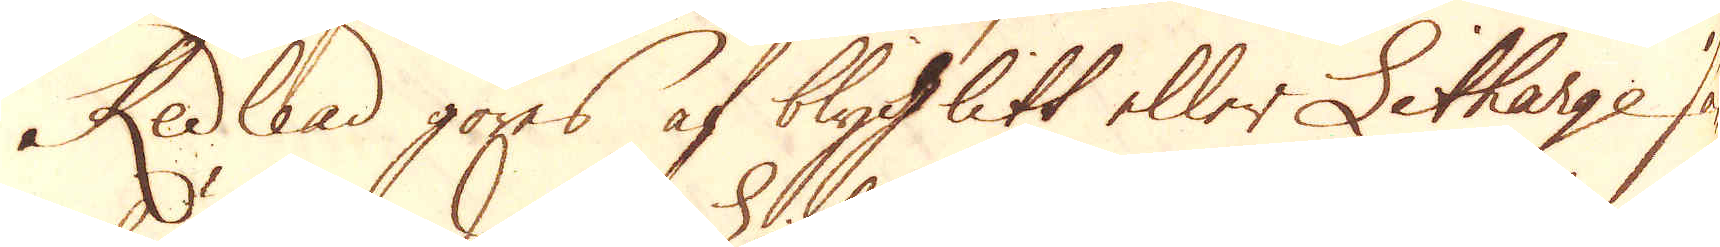Kedlead göres af blyWlitt eller Litharge, så-
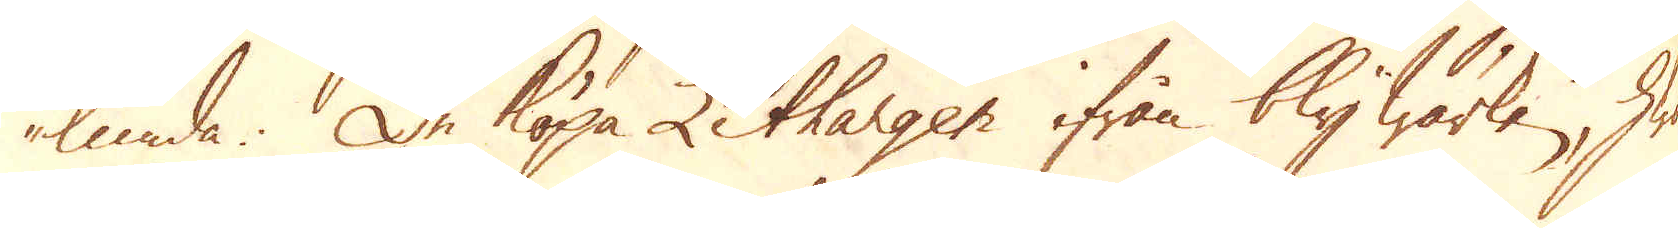lunda. De köpa Lithargen ifrån bly wärken, hwarur
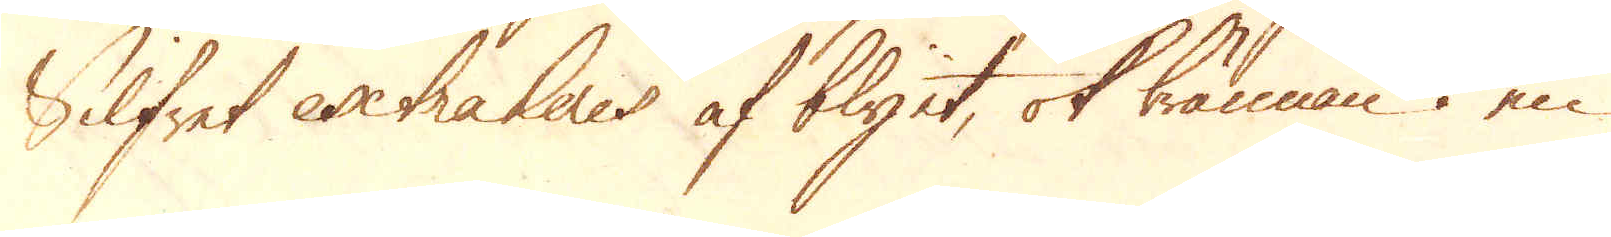Silfret extraheras af blyet, ok brännan i en
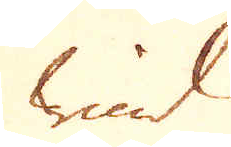wind
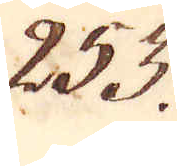253.
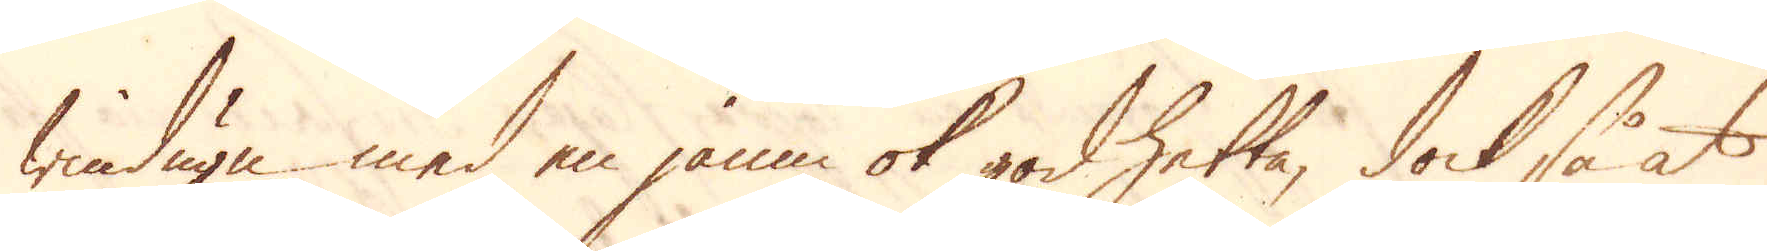windugn med en jämn ok god hetta, dock så at
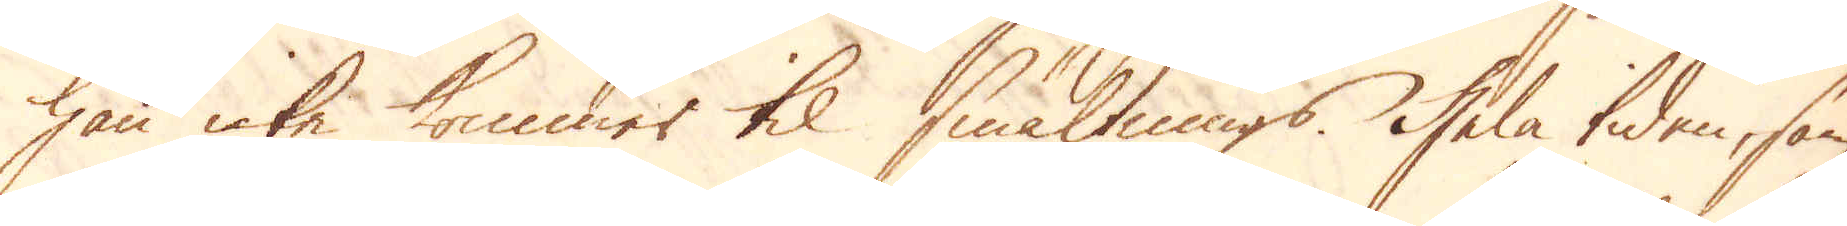han icke kommer til smältnings. Hela tiden, som
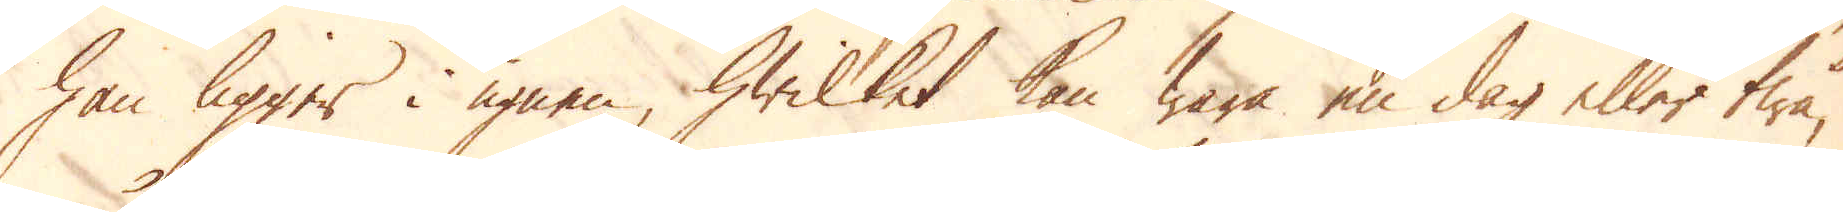han ligger i ugnen, hwilket kan wara en dag eller twå,
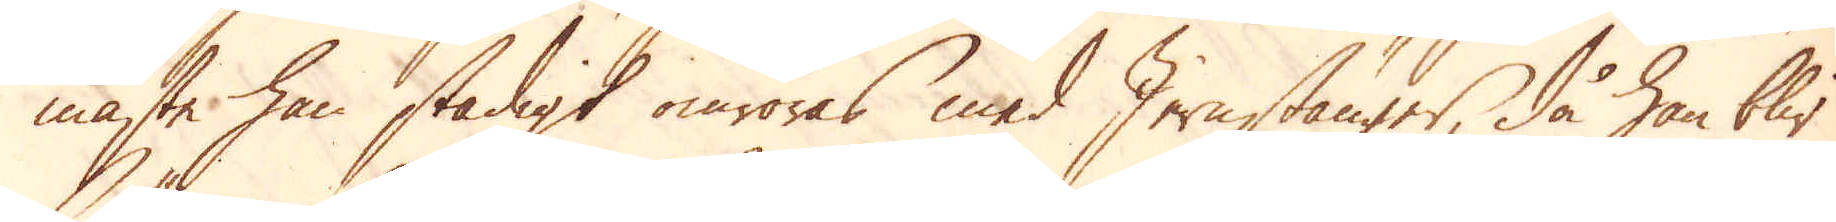måste han stadigt omröras med Jernstänger, då han blir
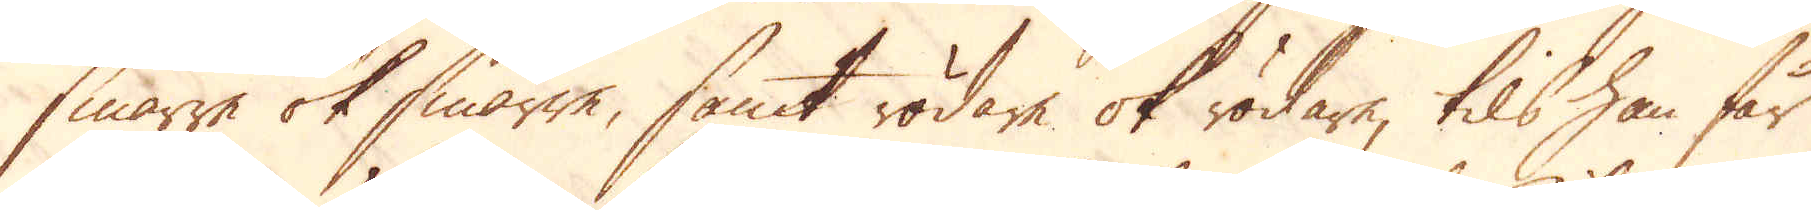smärre ok smärre, samt rödare ok rödare, tils han får
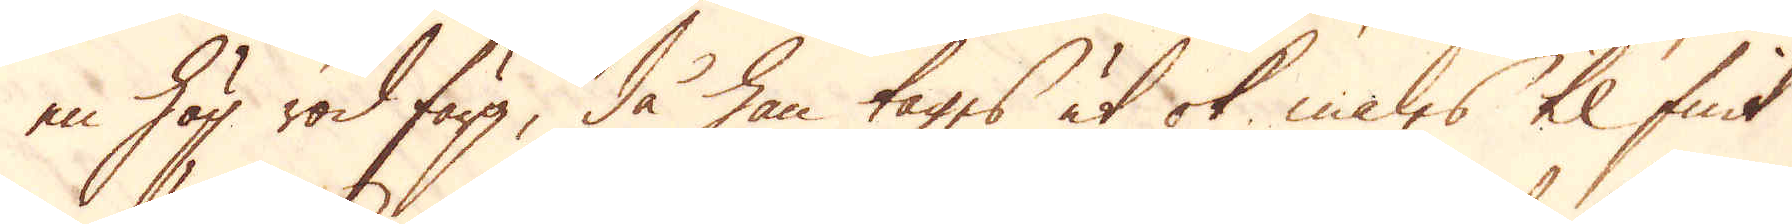en hög röd färg, då han tages ut ok males til fint
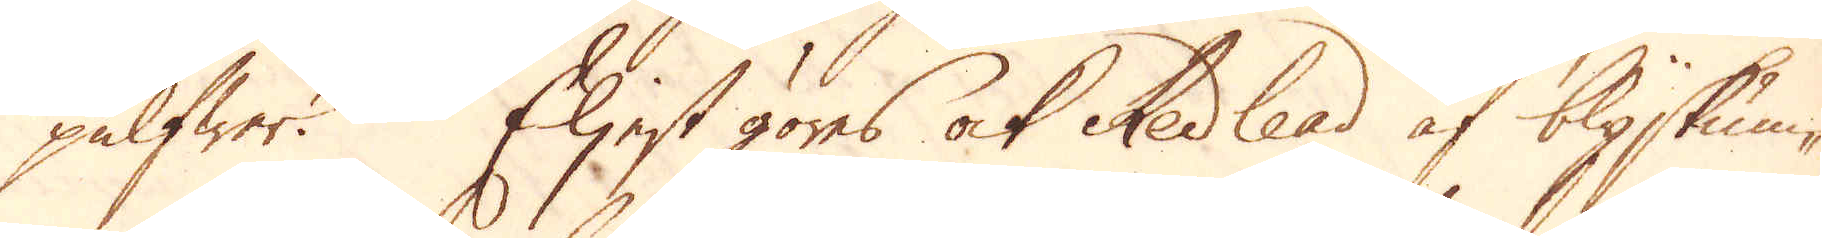pulfwer. Eljest göres ock Redlead af blyskum-
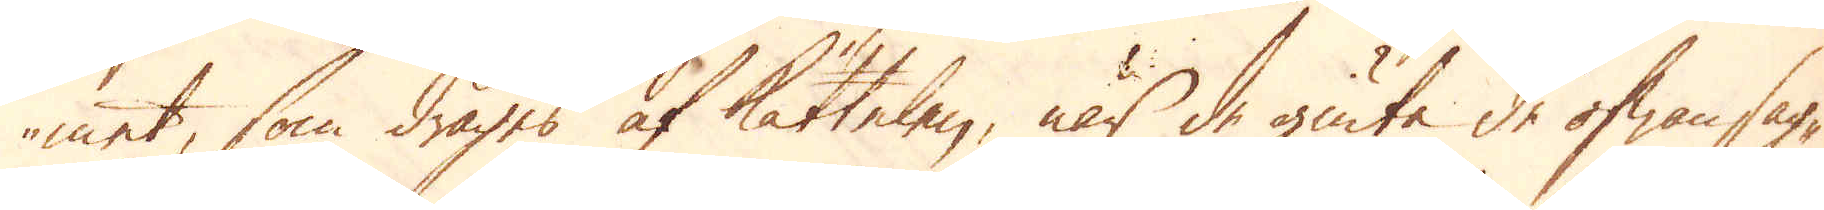met, som drages af kättelen, när de giuta de ofwansag-
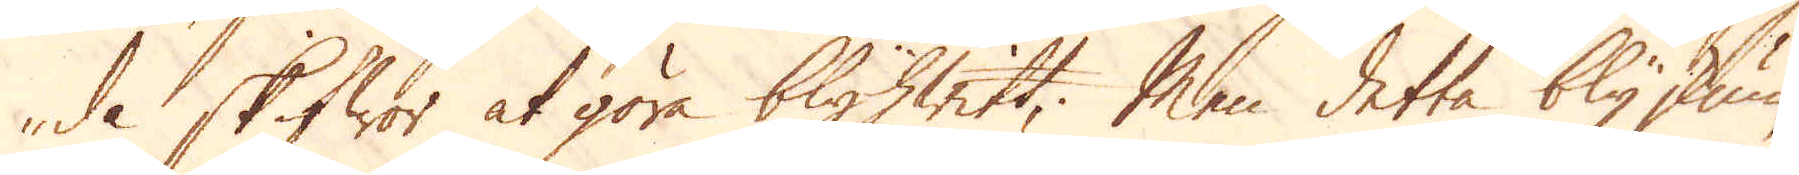de skifwor at göra blyhwitt; Men detta bly skum
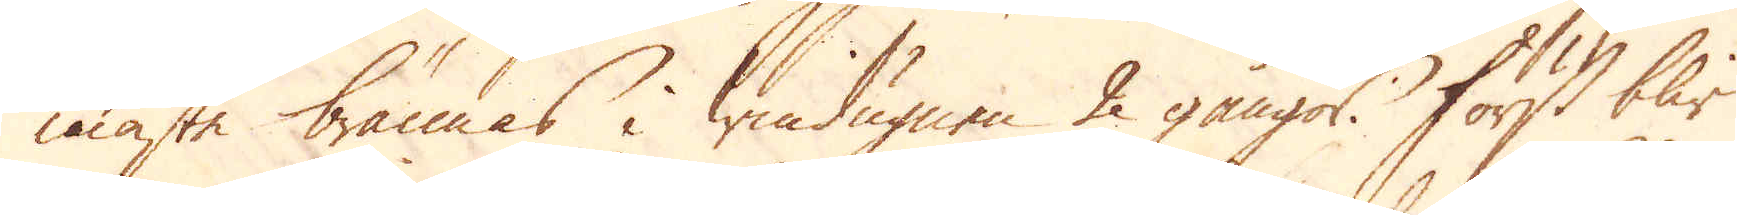måste brännas i windugnen 2 gångor. Först blir
